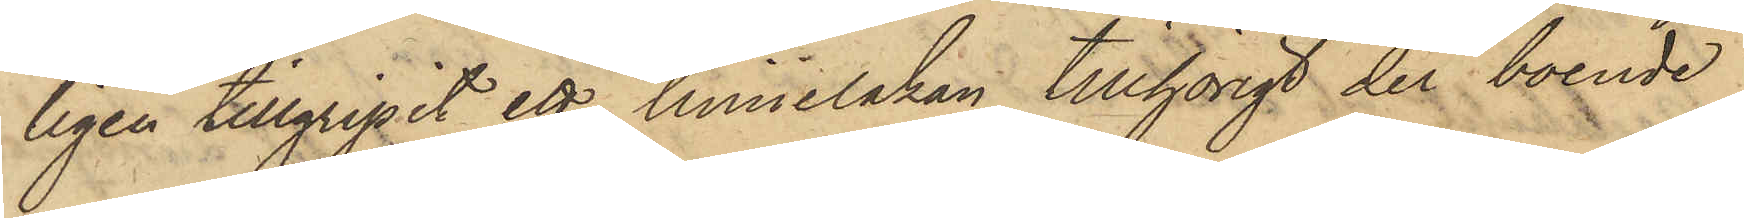ligen tillgripit ett linnelakan, tillhörigt der boende
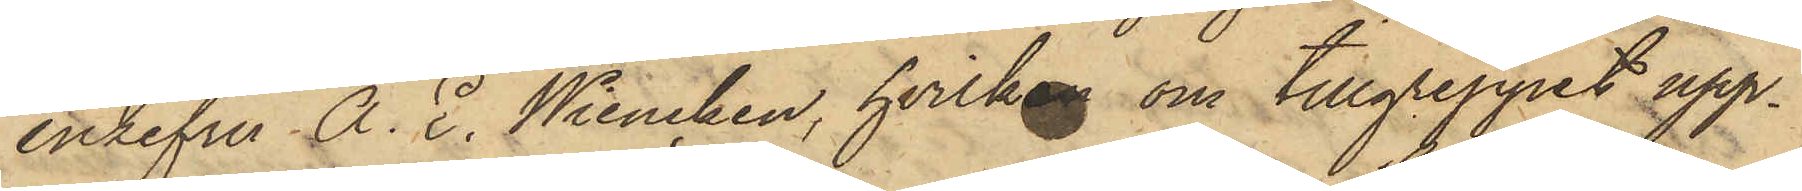enkefru A. E. Wiencken, hvilken om tillgreppet upp¬
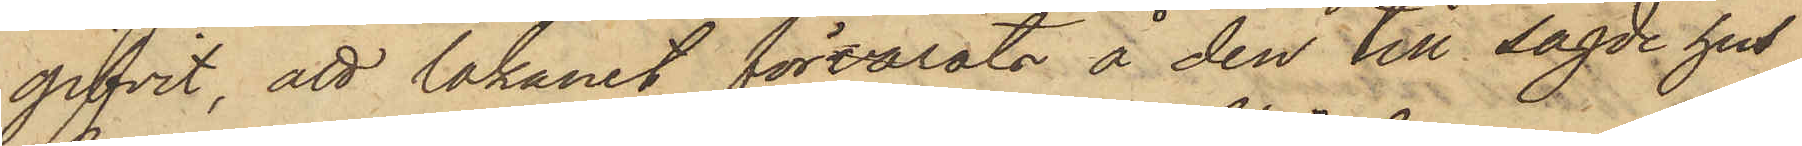gifvit, att lakanet förvarats å den till sagde hus
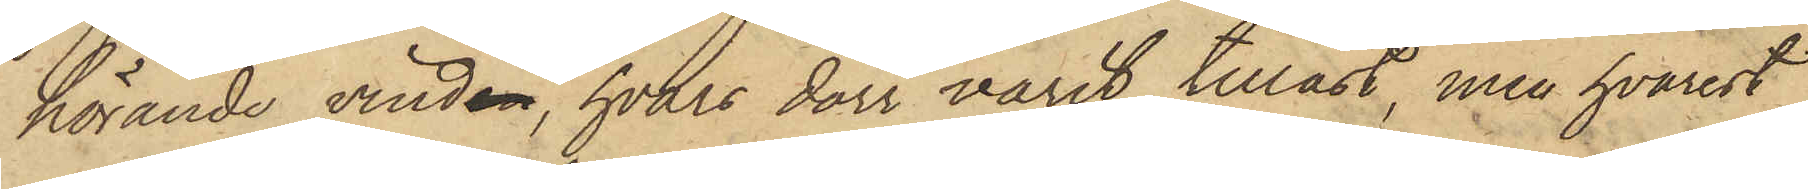hörande vinden, hvars dörr varit tillåst, men hvarest
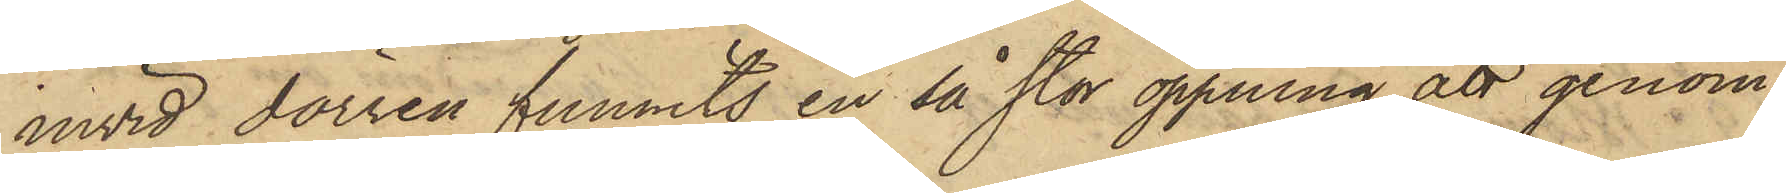invid dörren funnits en så stor öppning att genom
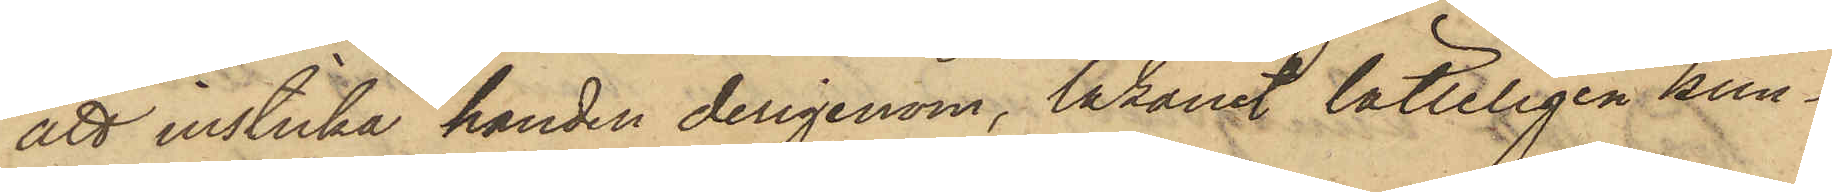att insticka handen derigenom, lakanet lätteligen kun¬
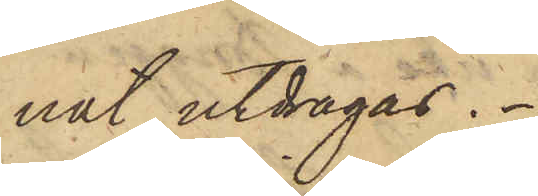nat utdragas.
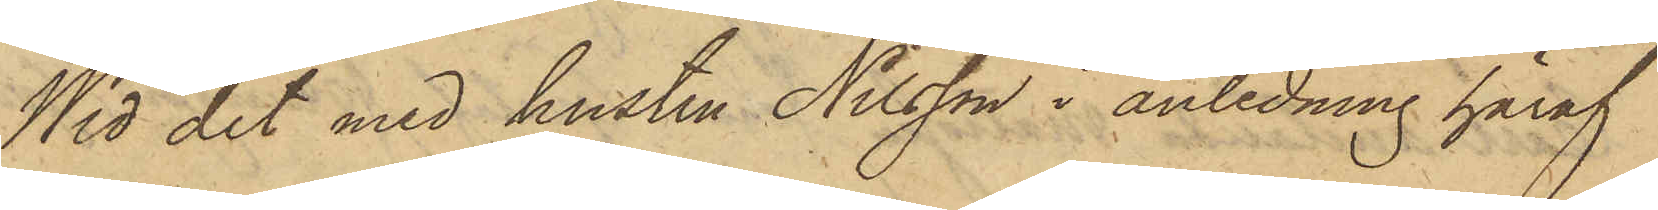Wid det med hustru Nilsson i anledning häraf
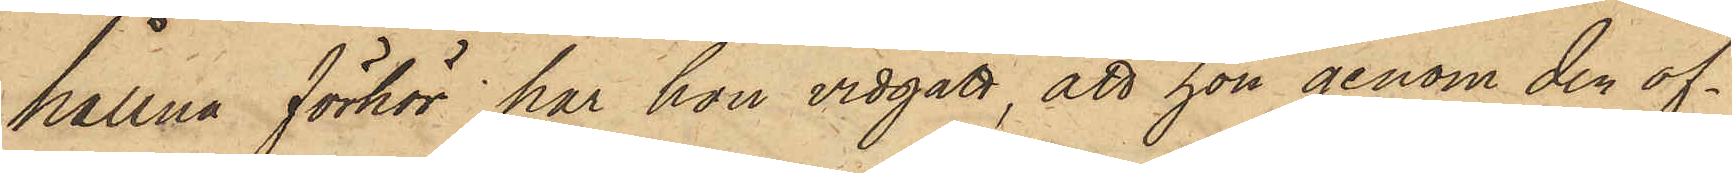hållna förhör har hon vidgått, att hon genom den of¬
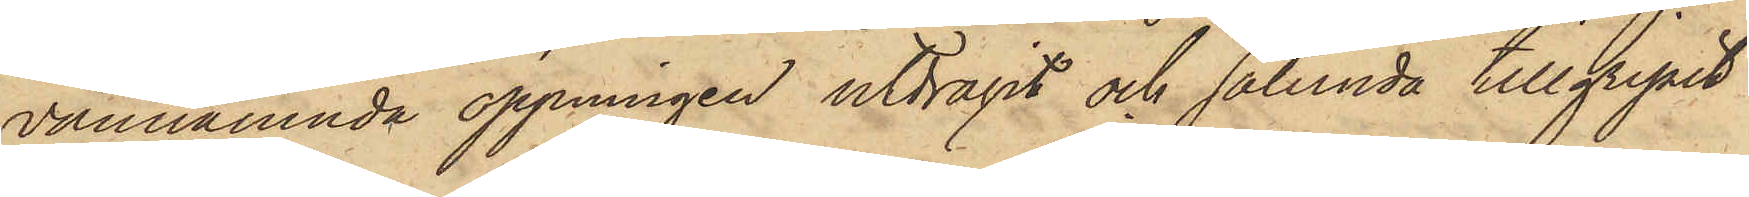vannämnda öppningen utdragit och sålunda tillgripit
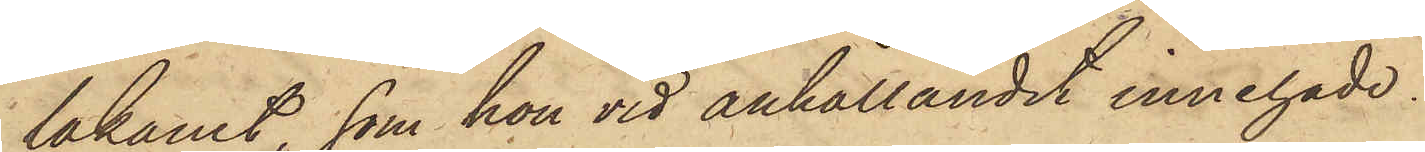lakanet, som hon vid anhållandet innehade.
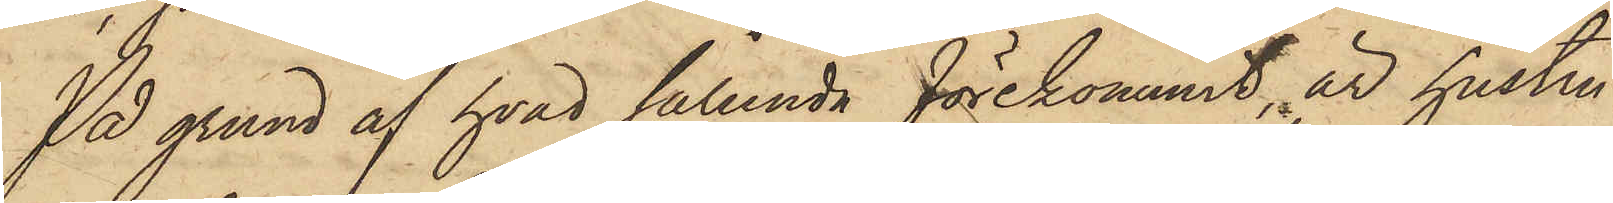På grund af hvad sålunda förekommit är hustru
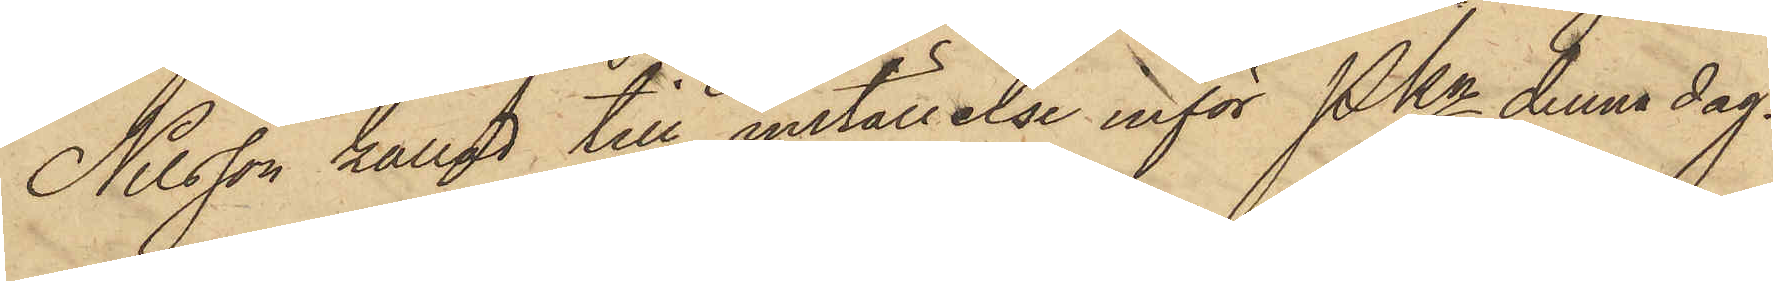Nilsson kallad till inställelse inför PKn denna dag.
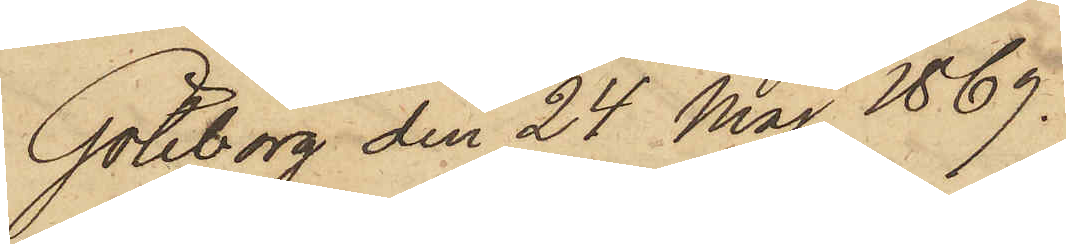Göteborg den 24 Maj 1869.
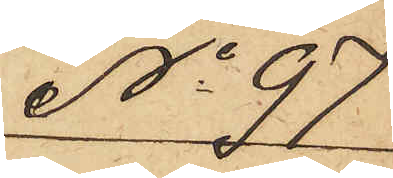No 97
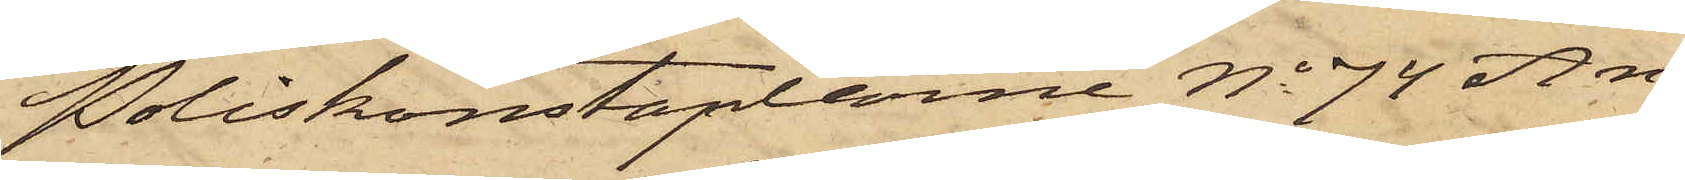Poliskonstaplarne No 74 An¬
